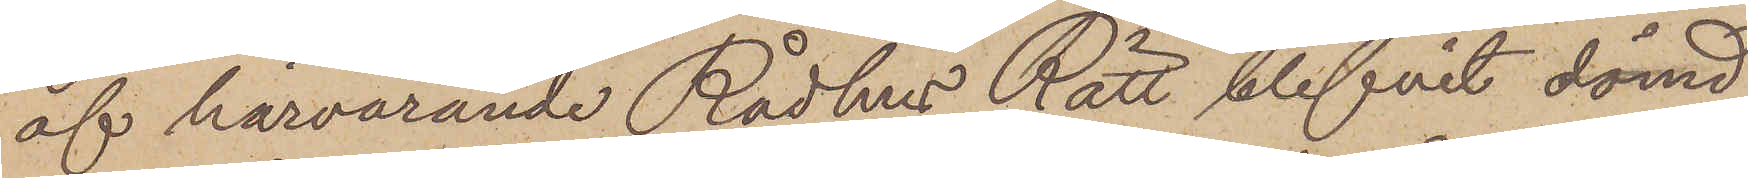af härvarande Rådhus Rätt blifvit dömd:
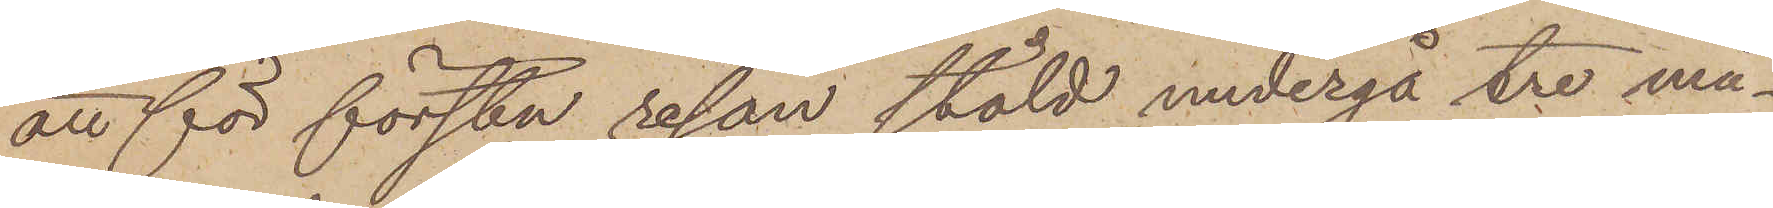att för första resan stöld undergå tre må¬
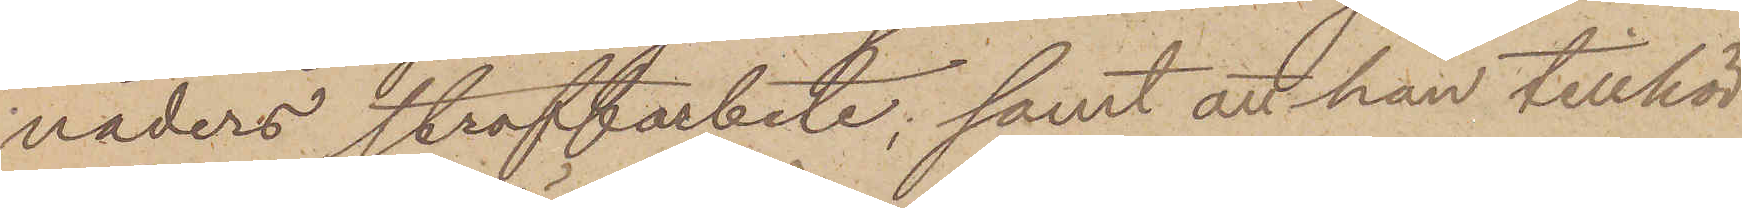naders straffarbete; samt att han tillhör
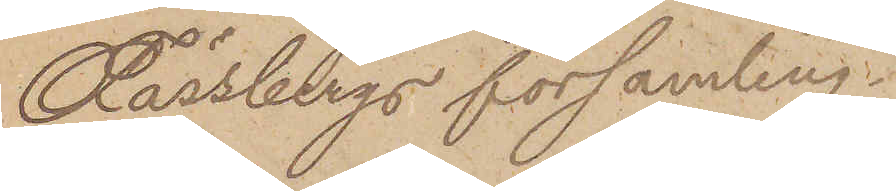Fässbergs församling.
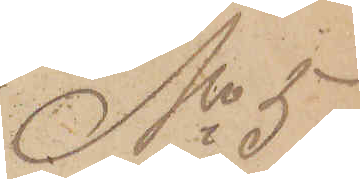No 5
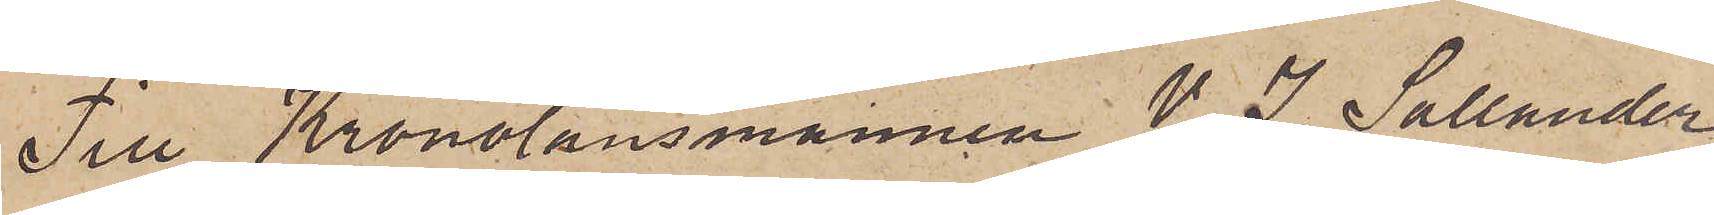Till Kronolänsmannen V. I. Sallander
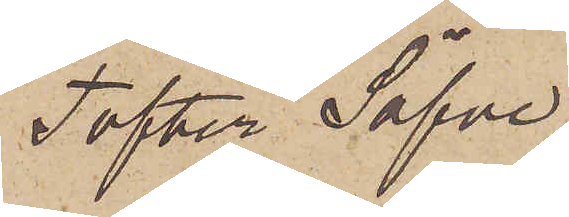Tofter Säfve.
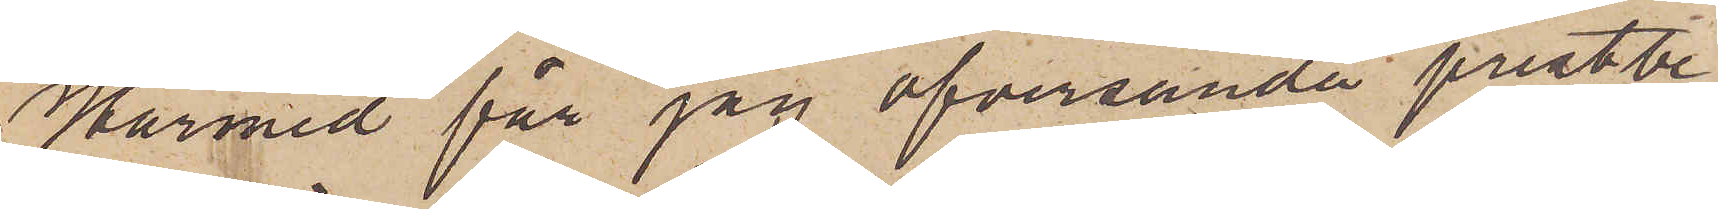Härmed får jag öfversända prestbe¬
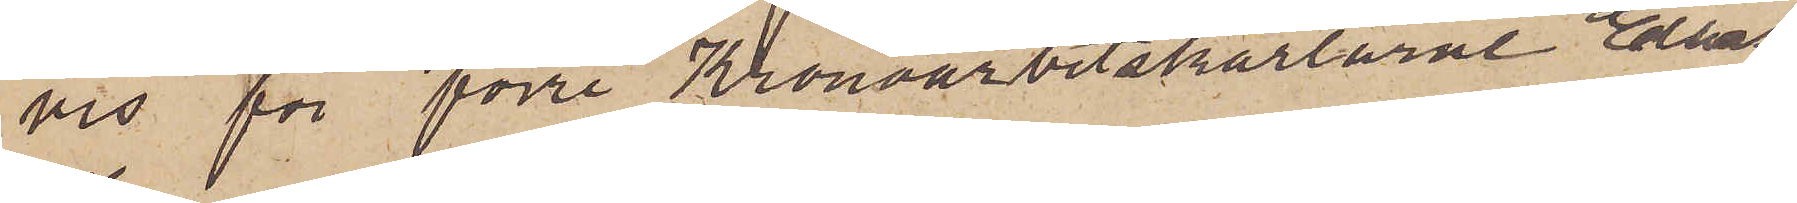vis för förre Kronoarbetskarlarne Elias
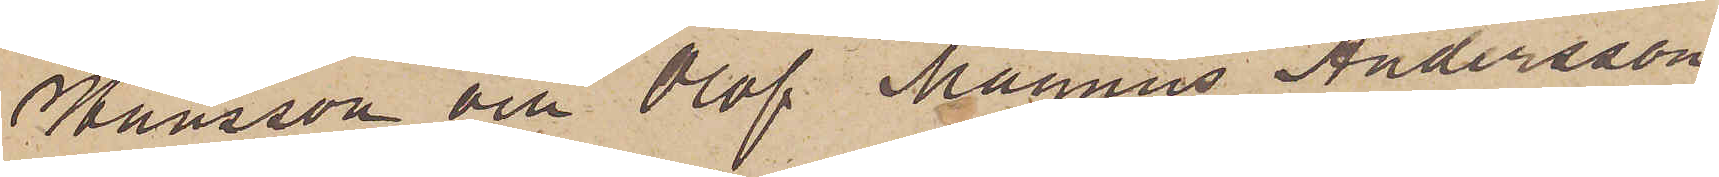Hansson och Olof Magnus Andersson,
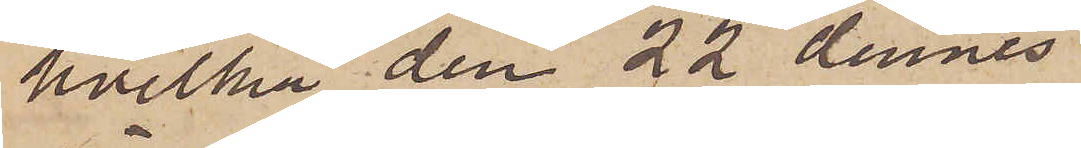hvilka den 22 dennes
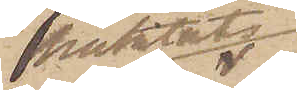häktats
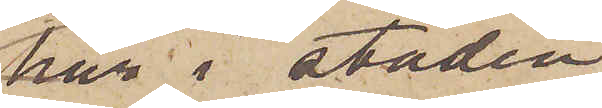här i staden
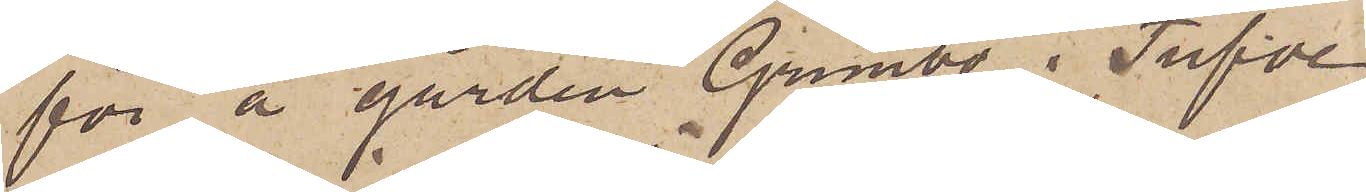för å gården Grimbo i Tufve
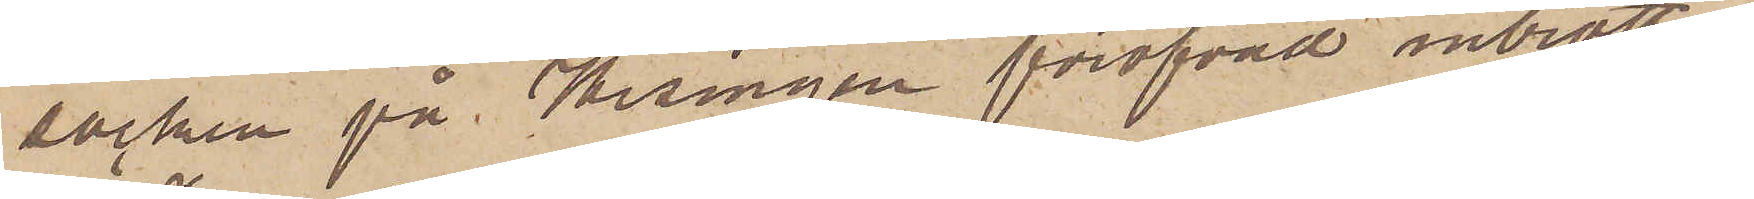socken på Hisingen föröfvad inbrotts¬
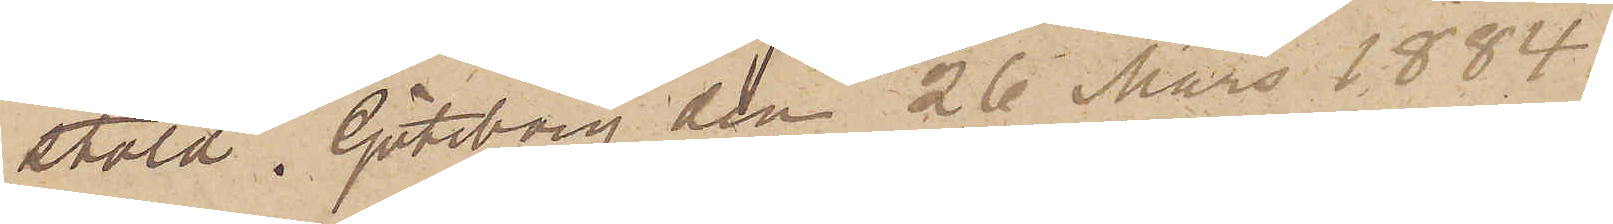stöld. Göteborg den 26 Mars 1884.
